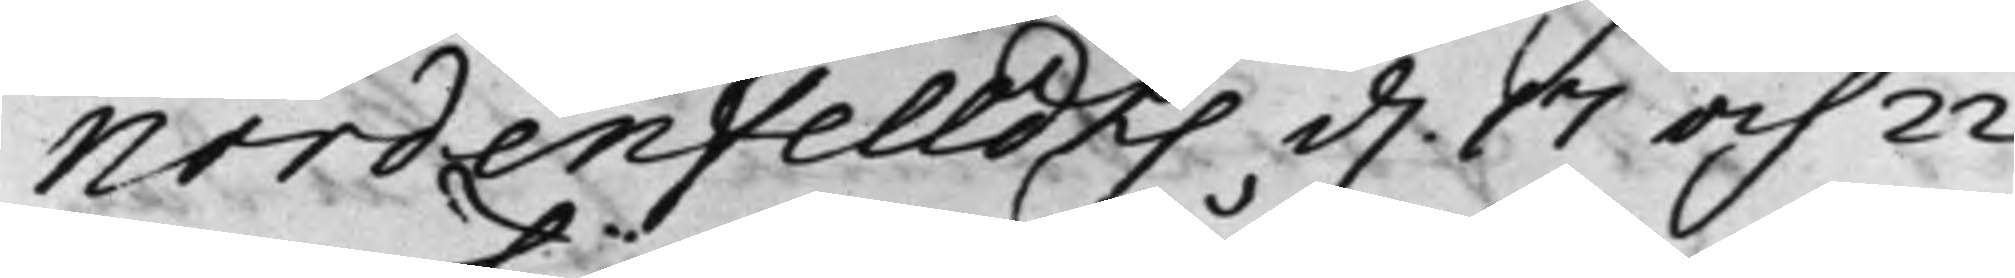Nordenfelldts d. 17 och 22
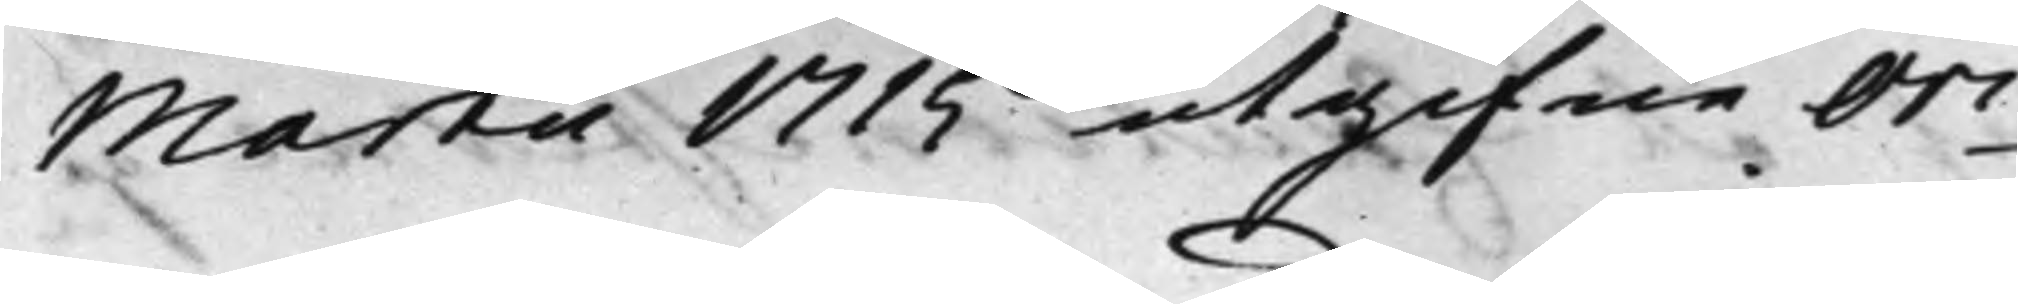Märta 1715 utgifne Ori¬
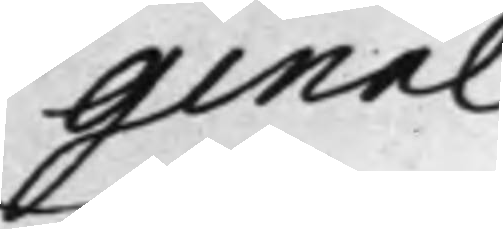ginal
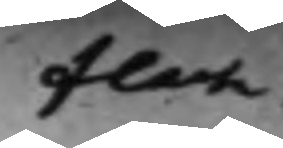Flach.
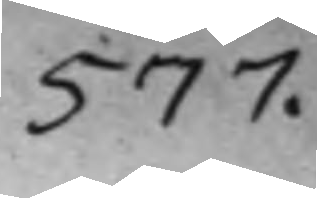577.
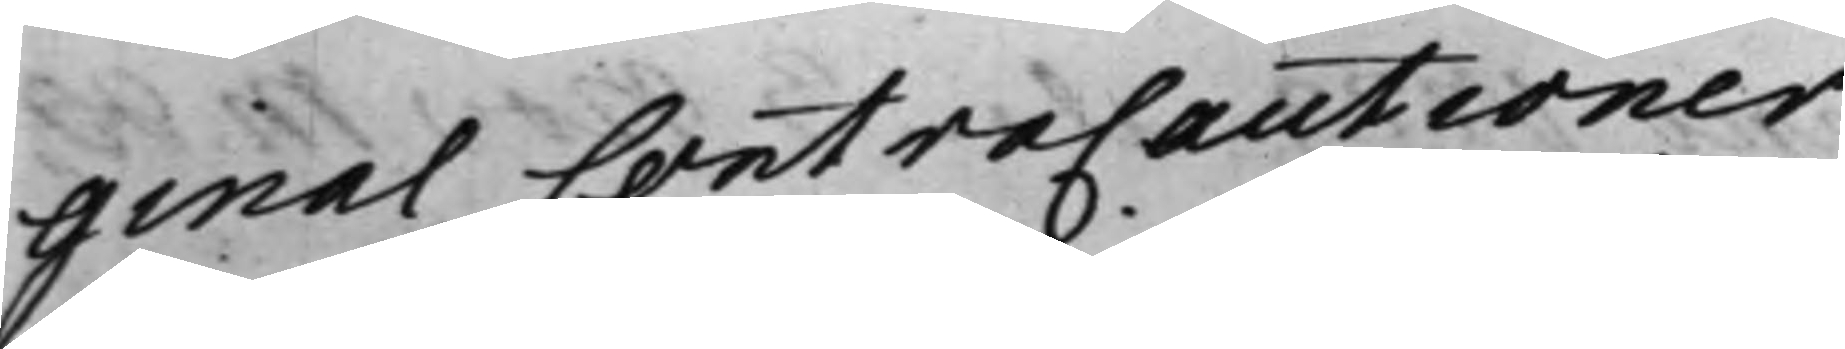ginal Contracautioner,
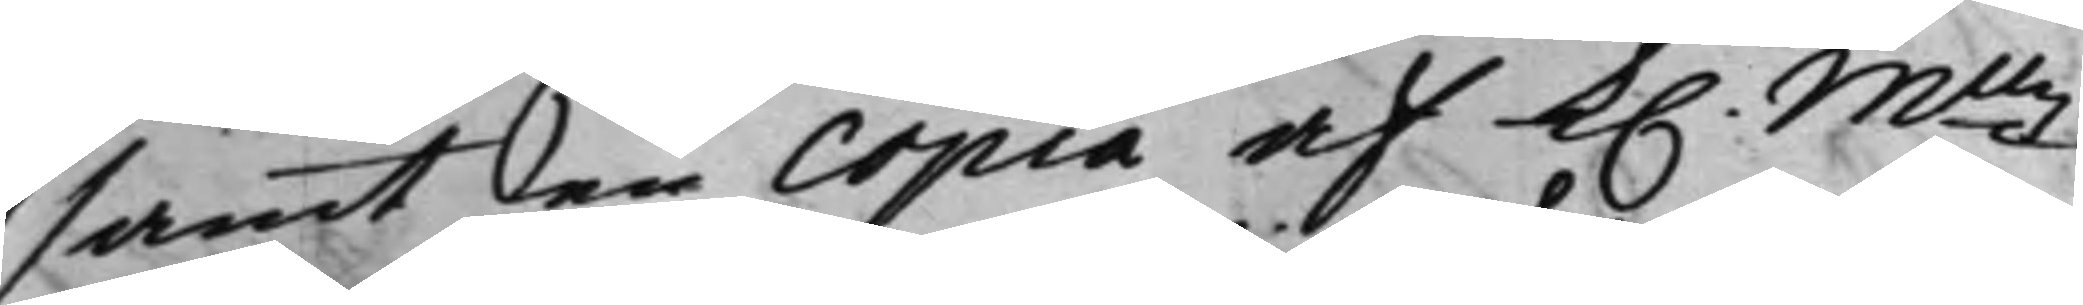samt den Copia af K. Mttz
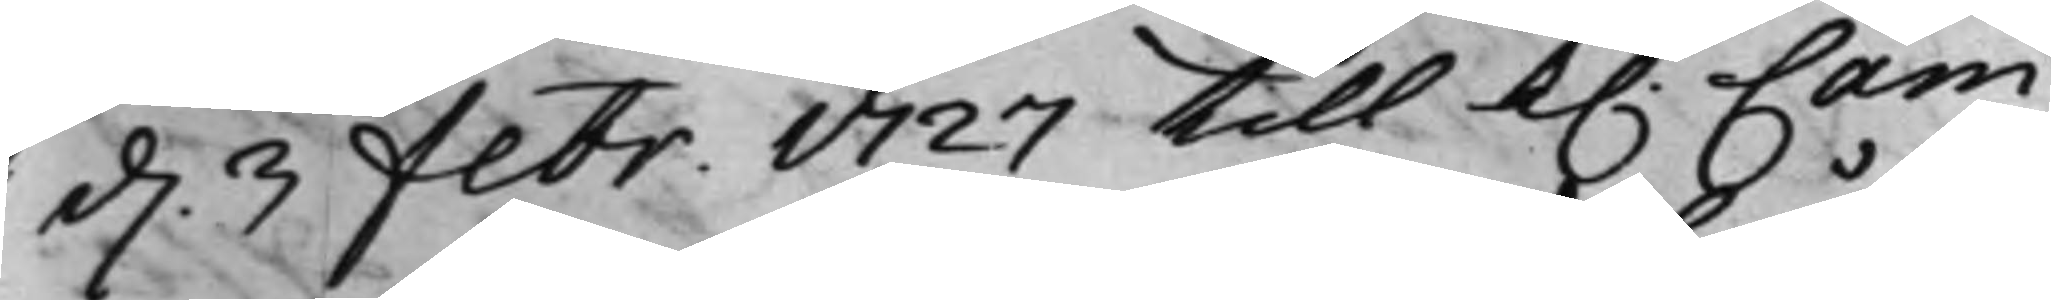d. 3 Febr. 1727 till K: Cam¬
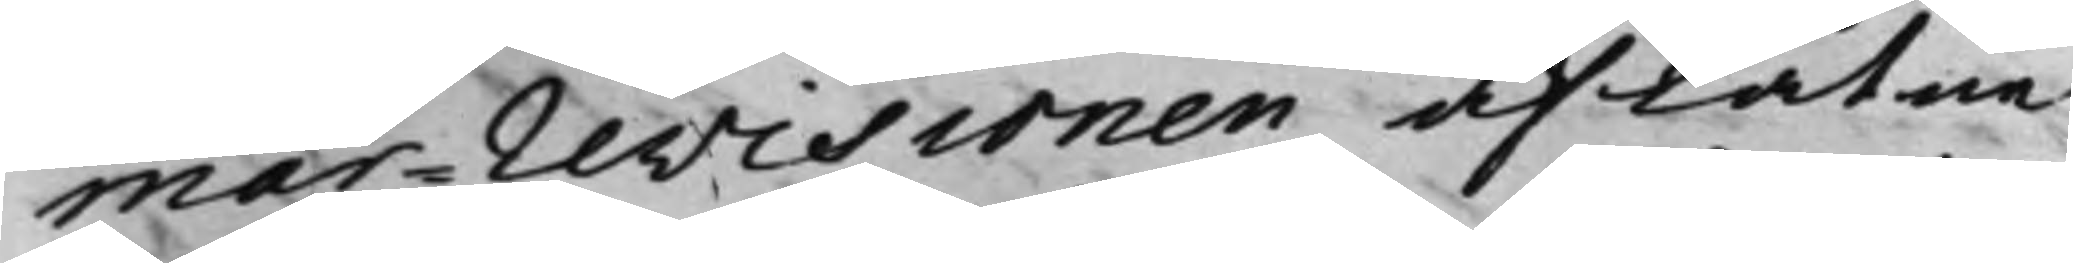mar-revisionen aflåtne
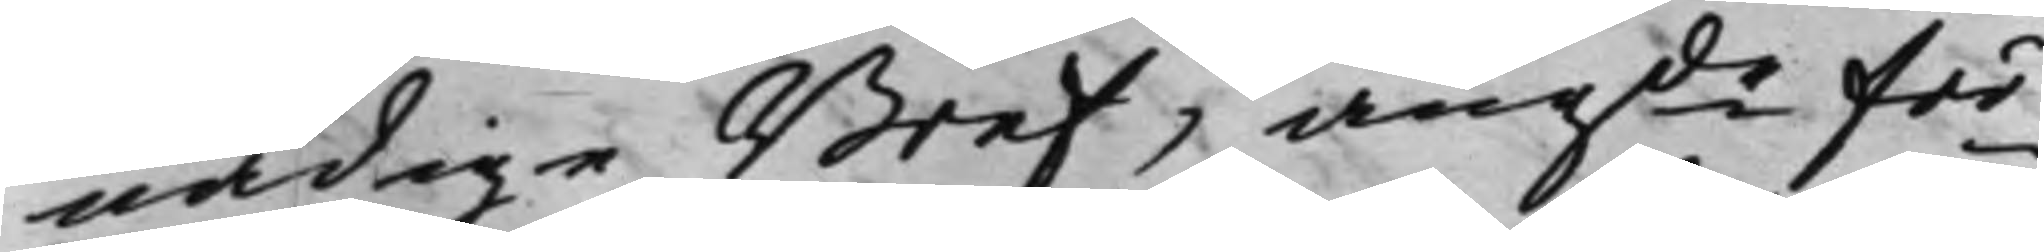nådige Bref, angde för¬
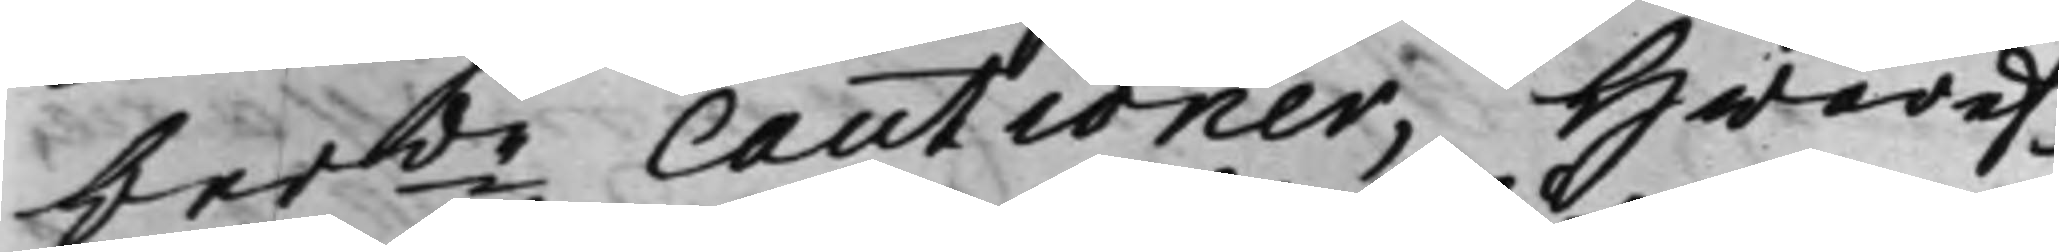berde Cautioner, Hwaref¬
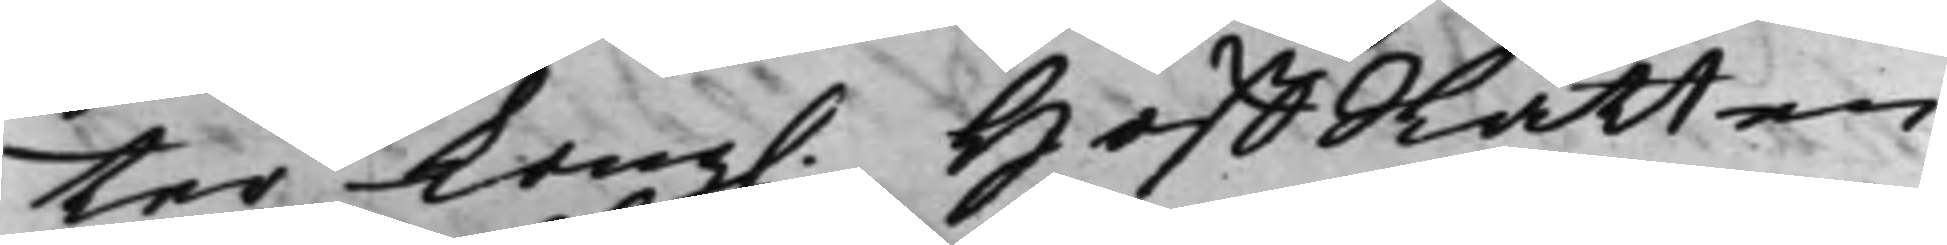ter Kong. HoffRätten
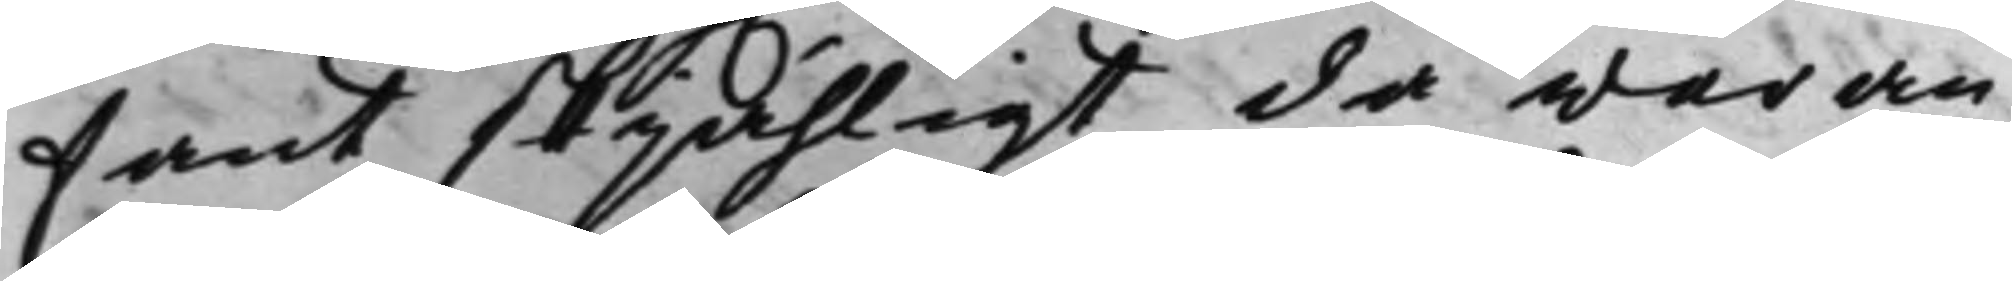fant skjähligt då waran¬
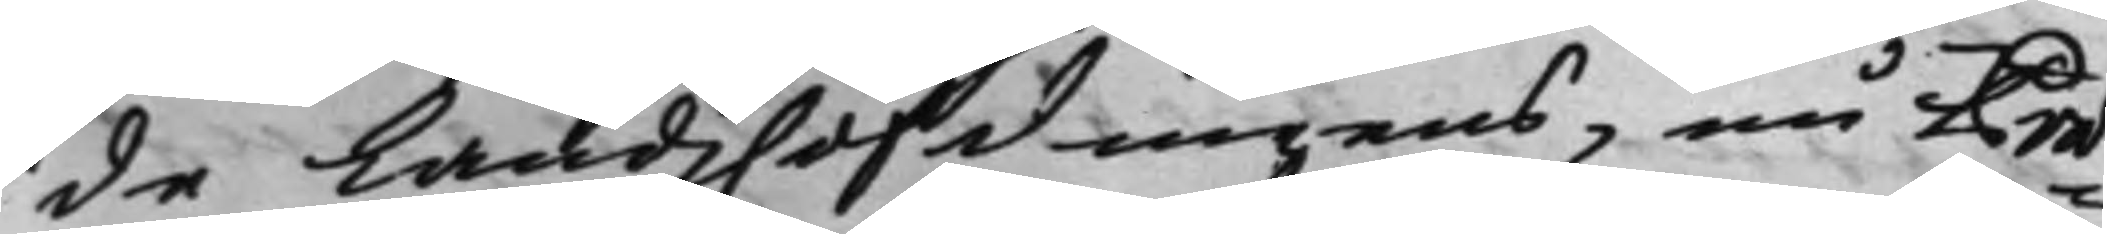de Landzhöfdingens, nu Præ¬
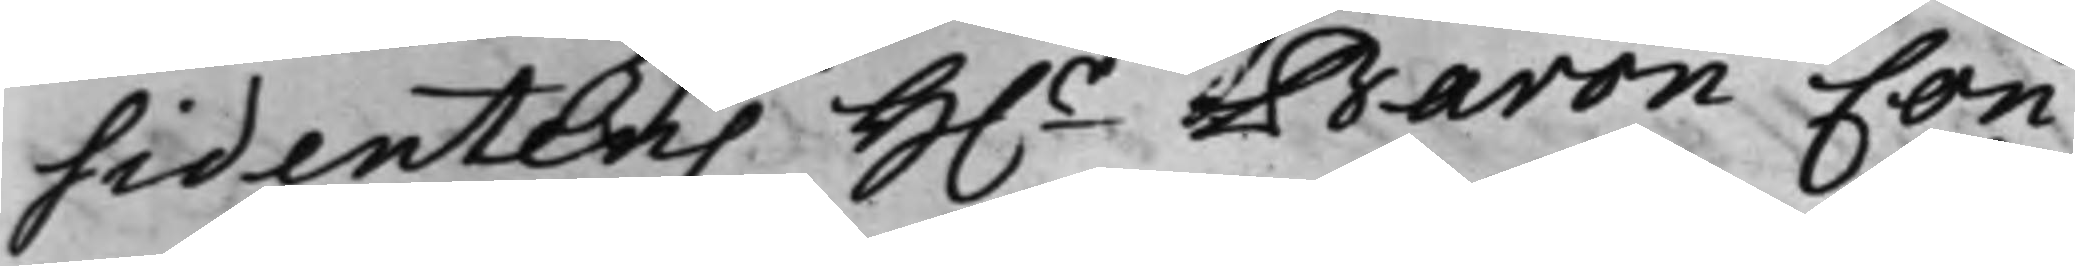sidentens H.r Baron Con¬
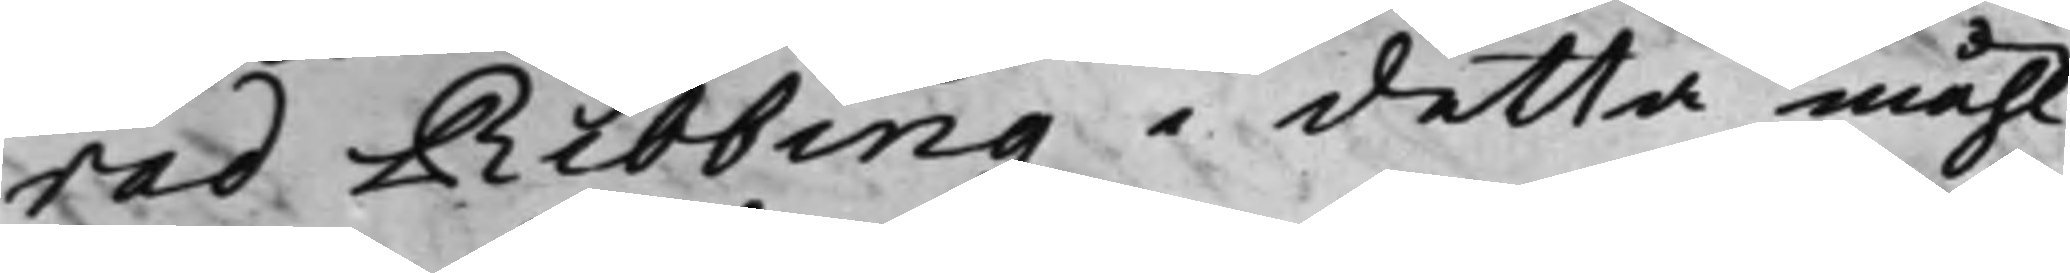rad Ribbing i detta måhl
